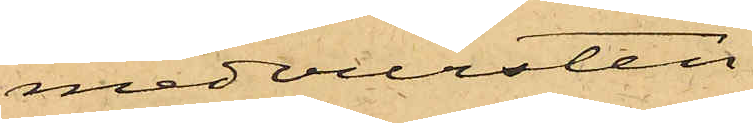medvursten.
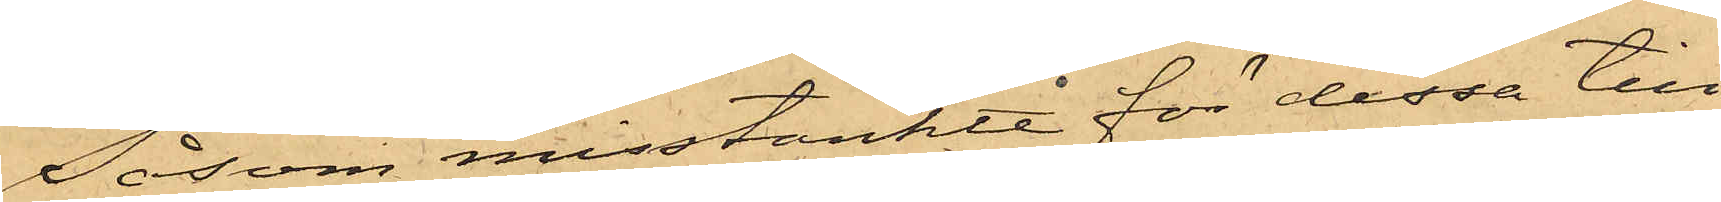Såsom misstänkte för dessa till¬
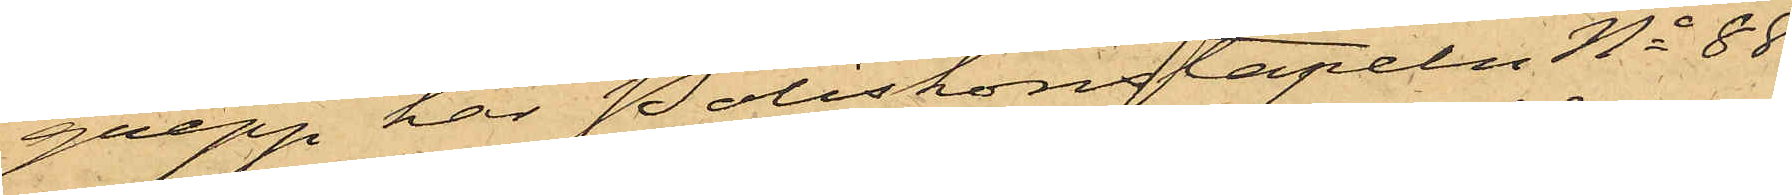grepp har Poliskonstapeln No 88
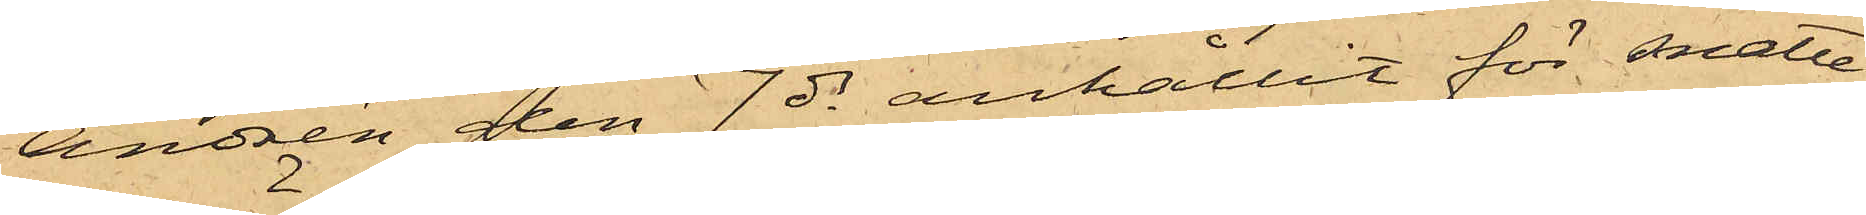Andrén den 7 ds anhållit för snatte¬
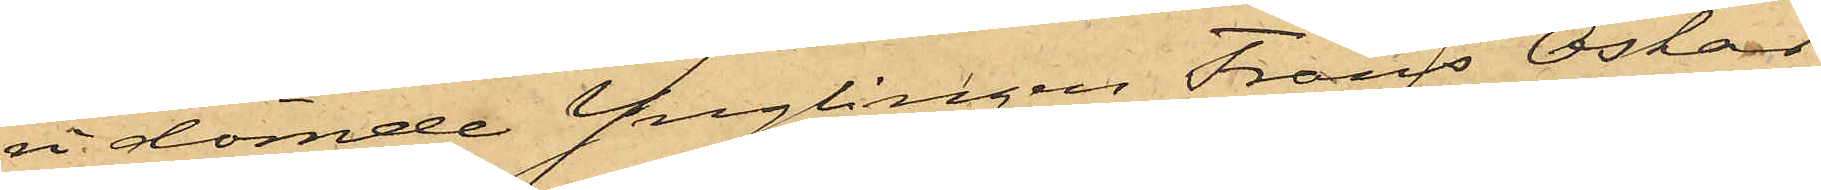n dömde Ynglingen Frans Oskar
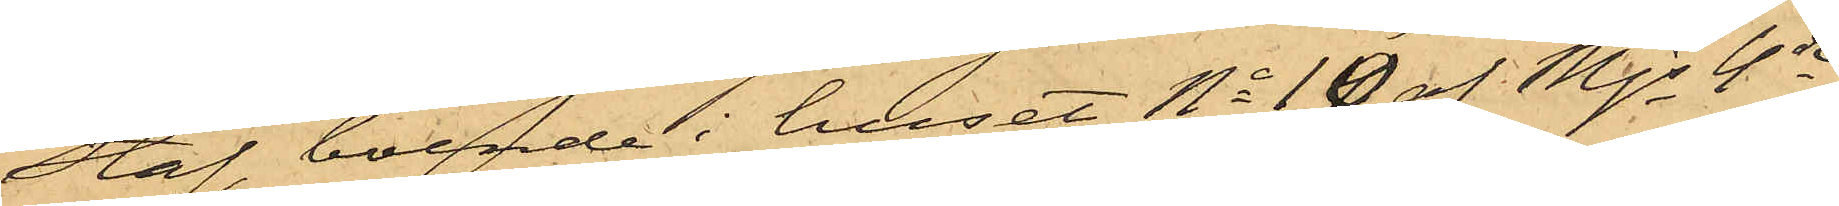Staf, boende i huset No 10 af Mjs 4de
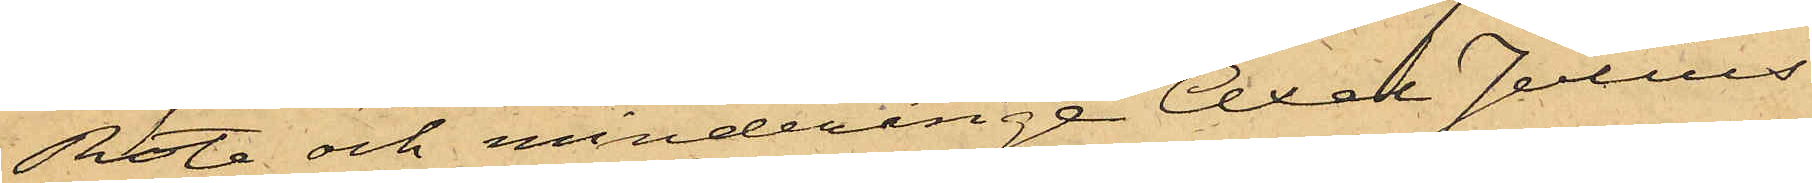Rote och minderårige Axel Julius
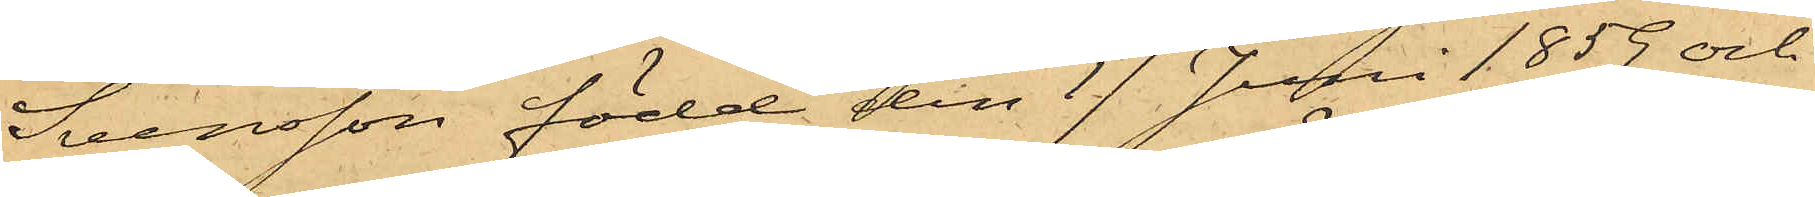Svensson född den 17 Juni 1859 och
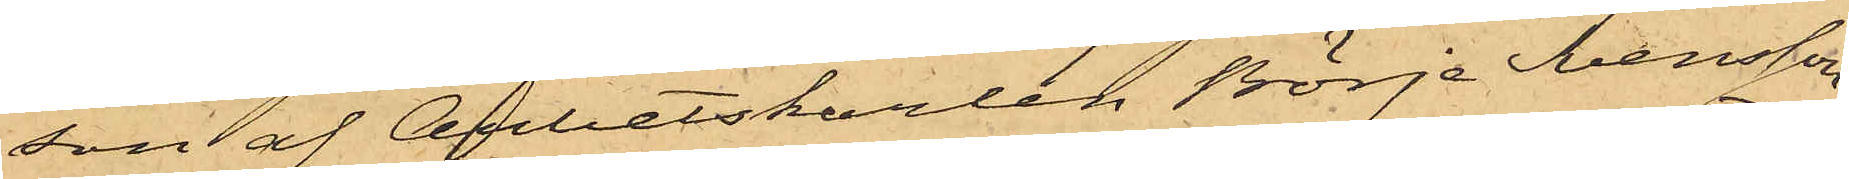son af Arbetskarlen Börje Svensson,
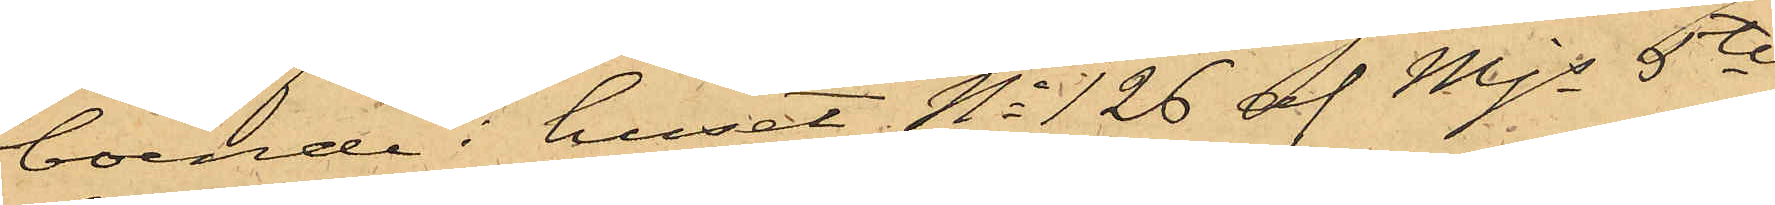boende i huset No 126 af Mjs 5te
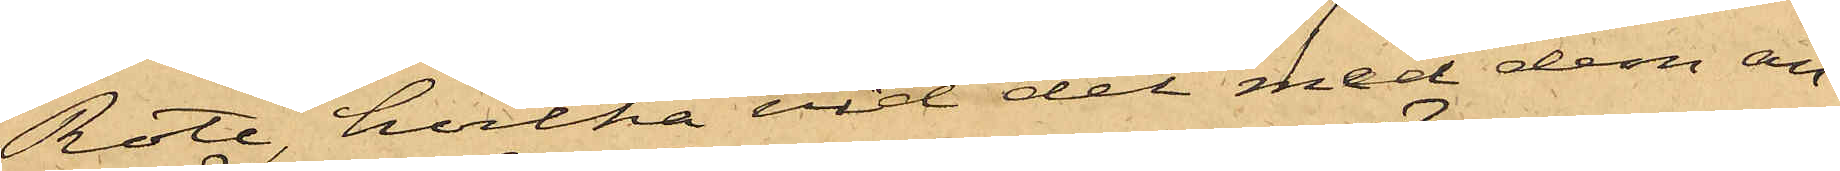Rote, hvilka vid det med dem an¬
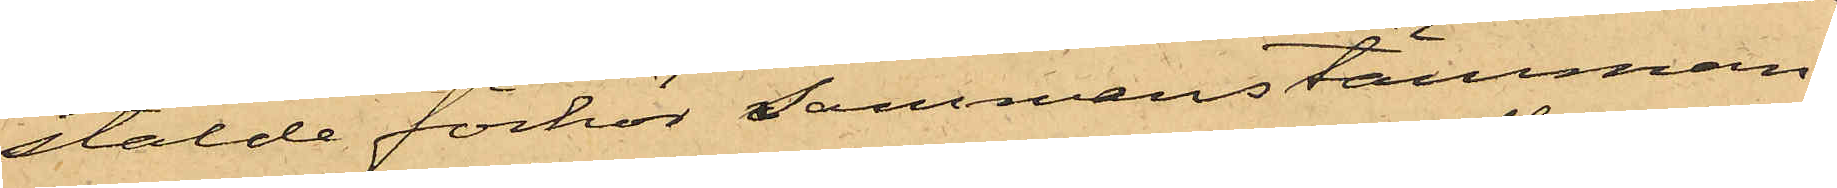stälde förhör Sammanstämman¬
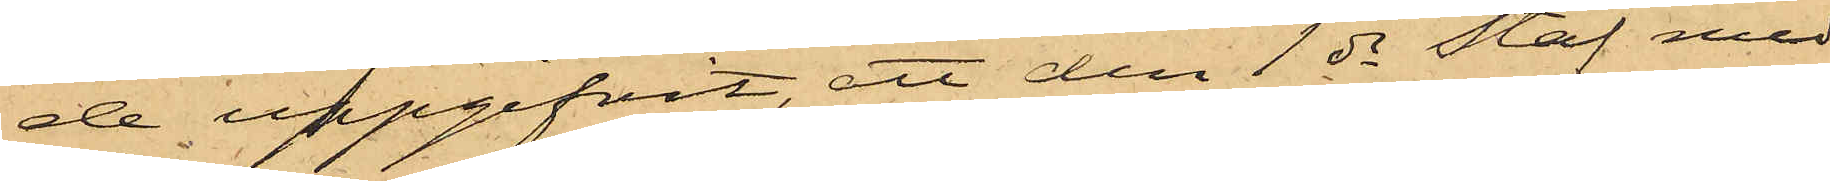de uppgifvit, att den 1 ds Staf med
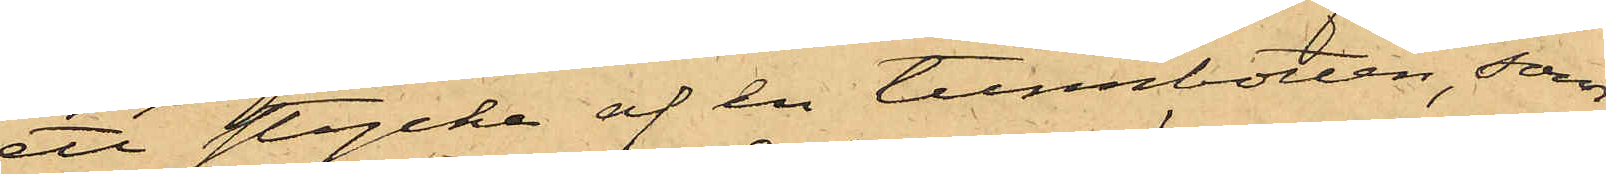ett stycke af en tunnbotten, som
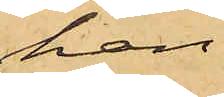han
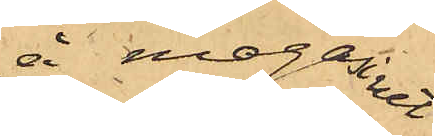å magasinet
